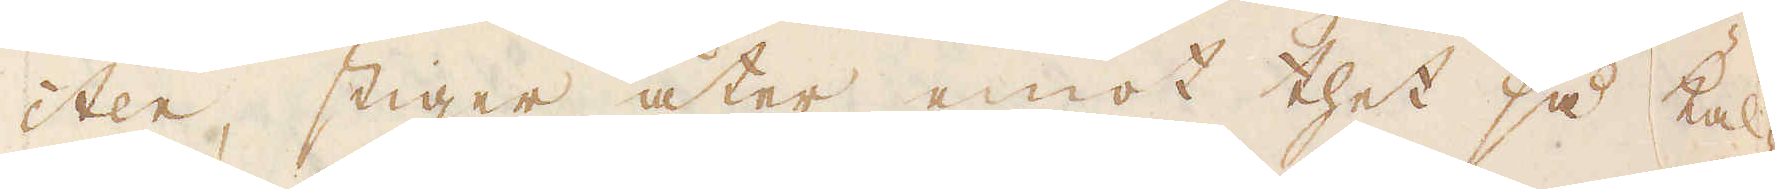cter, stiger åter emot thet så kal-
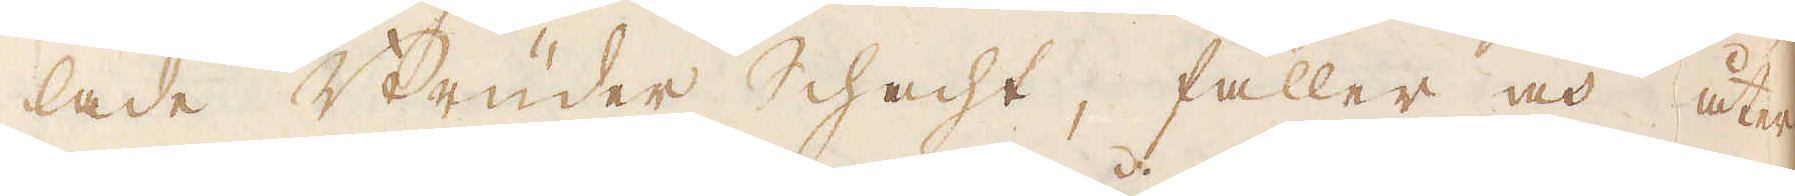lade Brüder Schacht, faller och åter
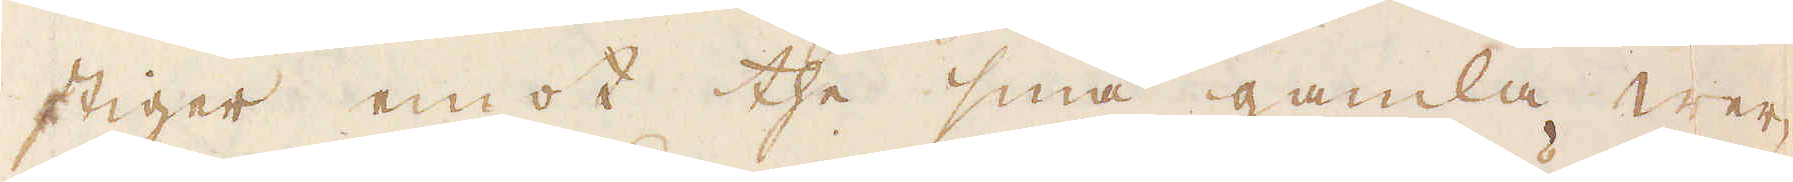stiger emot the små gamla wer-
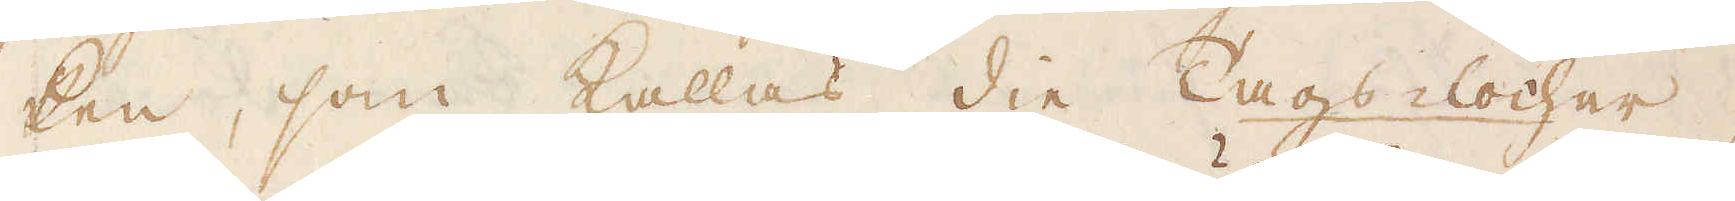ken, som kallas die Tags-löcher,
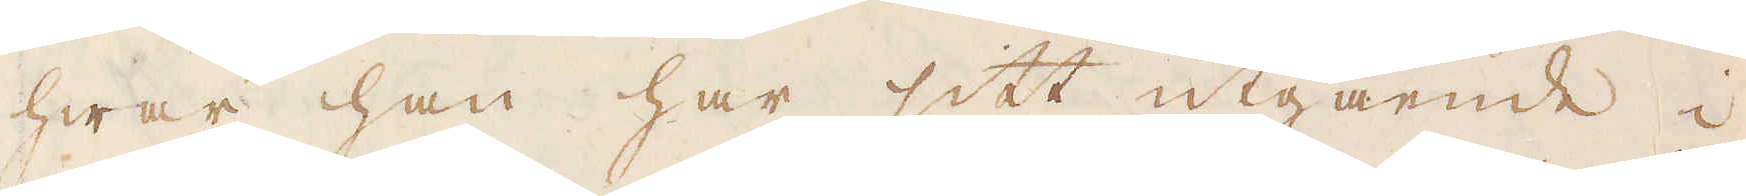hwar han har sitt utgående i
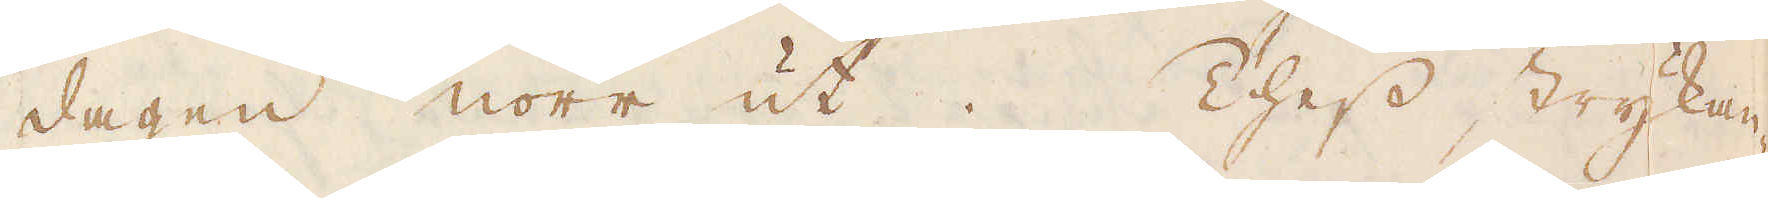dagen norr ut. Thess strykan-
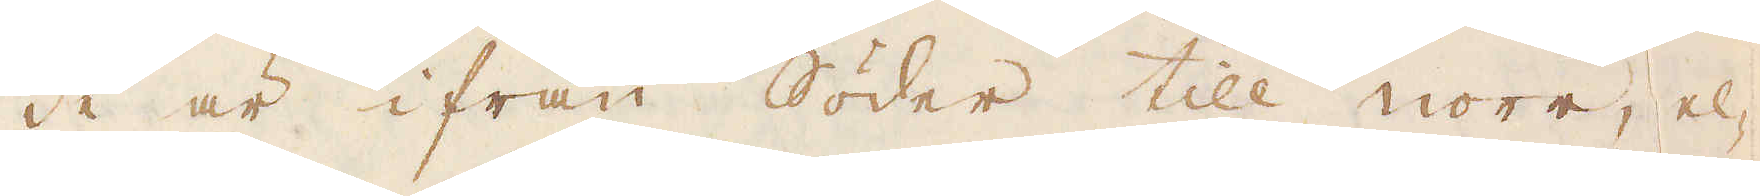de är ifrån Söder till norr, el-
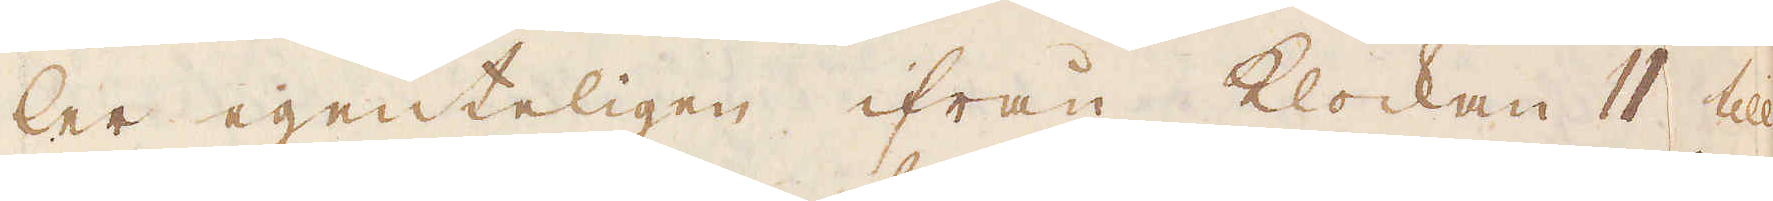ler egenteligen ifrån klockan 11 till
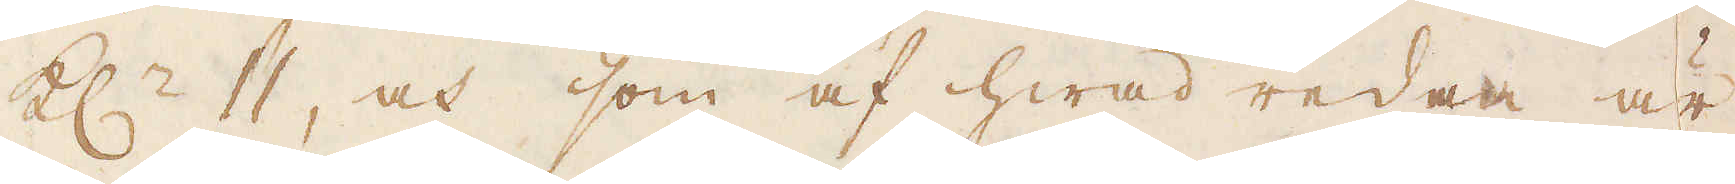kl:n 11, och som af hwad redan är
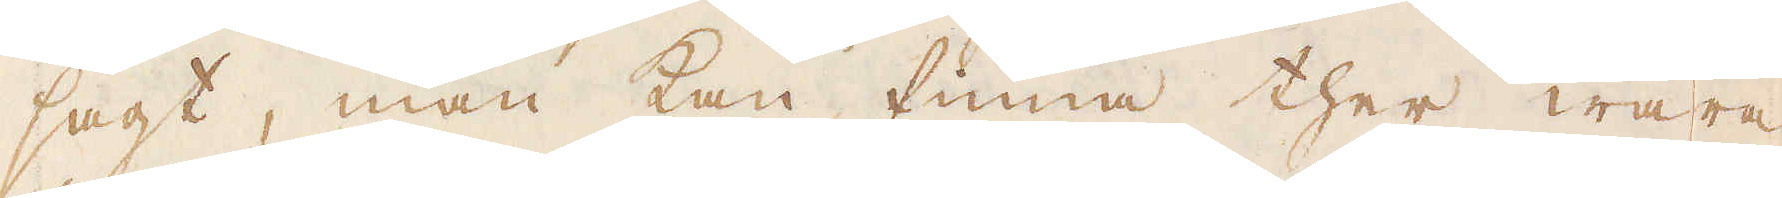sagt, man kan finna ther wara
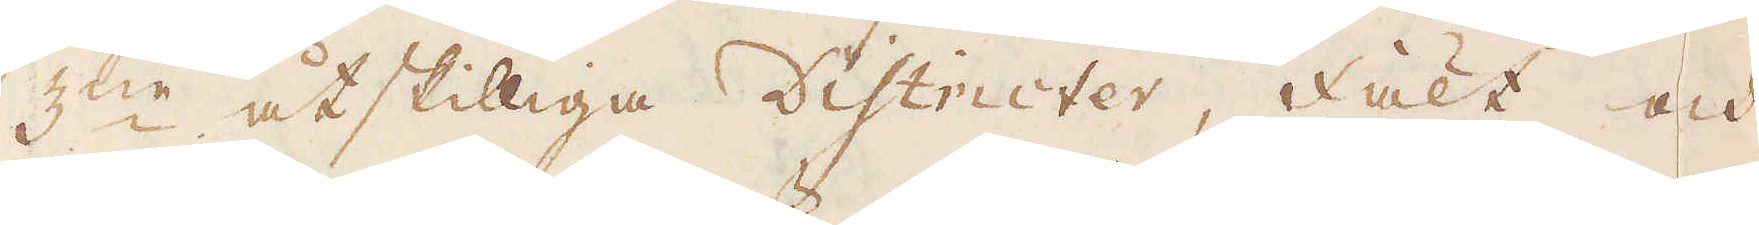3:ne åtskilliga Districter, Fält och
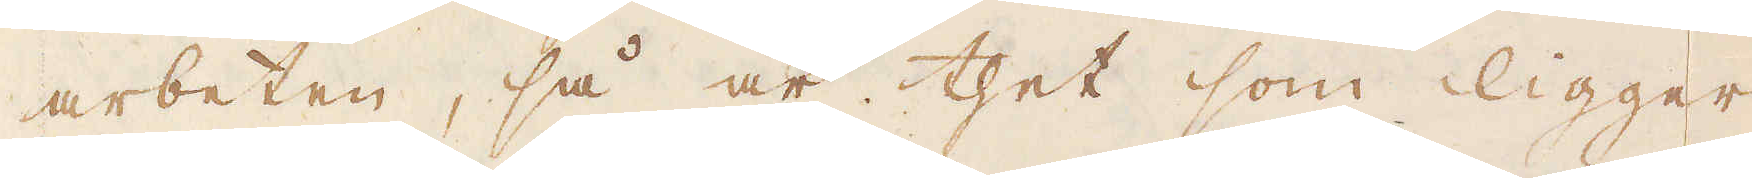arbeten, så är thet som ligger
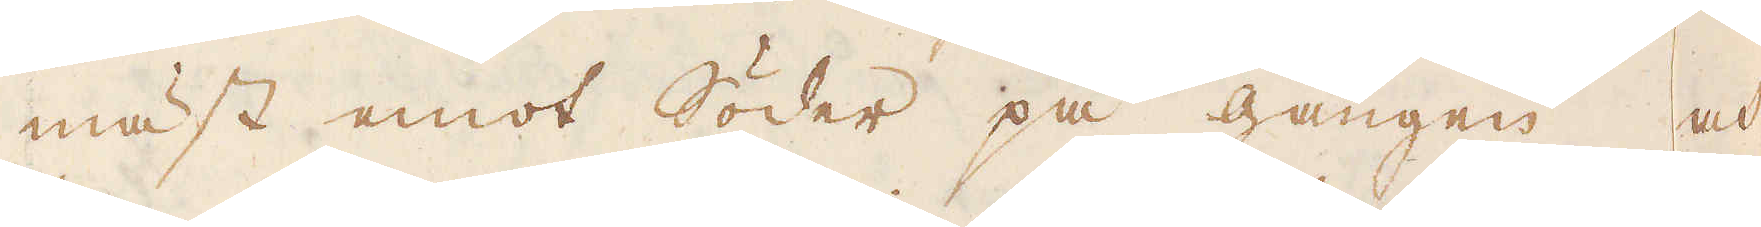mäst emot Söder på gången och
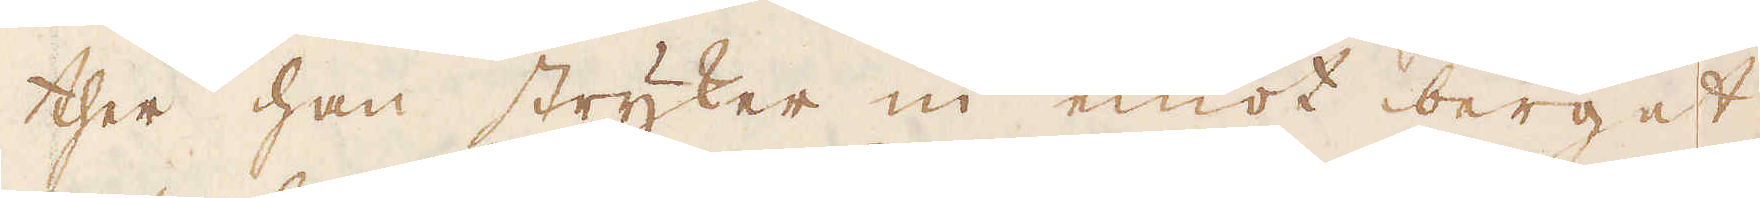ther han stryker in emot berget,
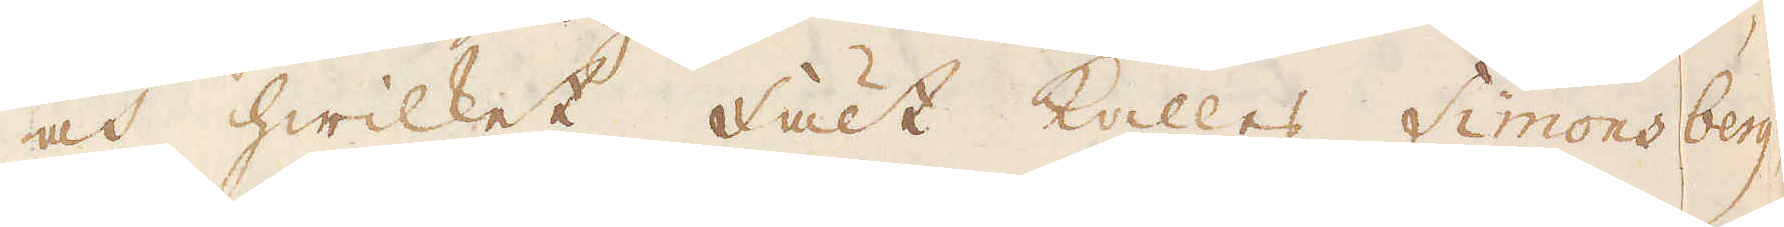och hwilket Fält kallas Simonsberg,
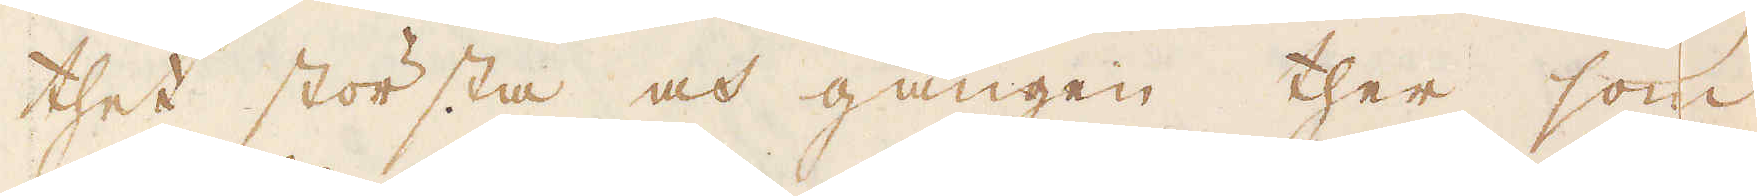thet största och gången ther som
